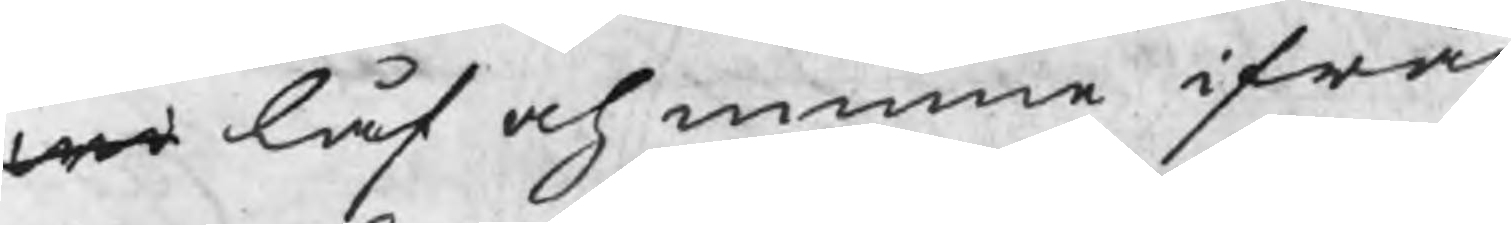wo låf och minne ifrån
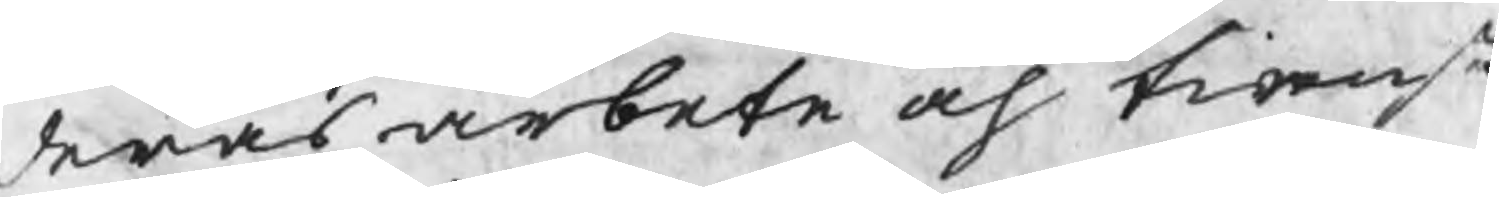deras arbete och tienst
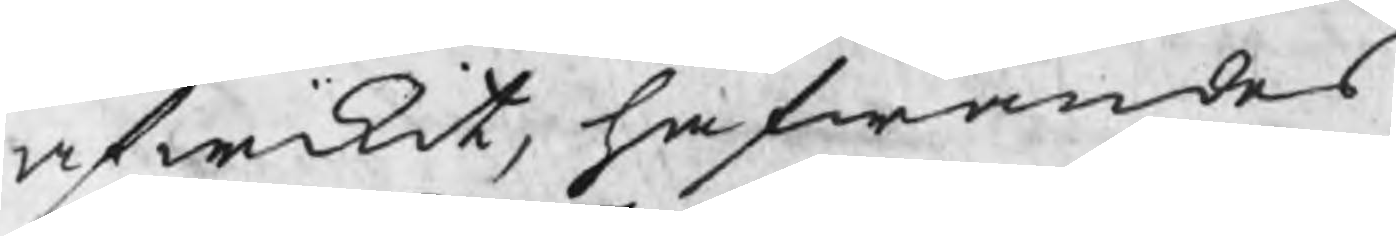afwikit, hafwandes
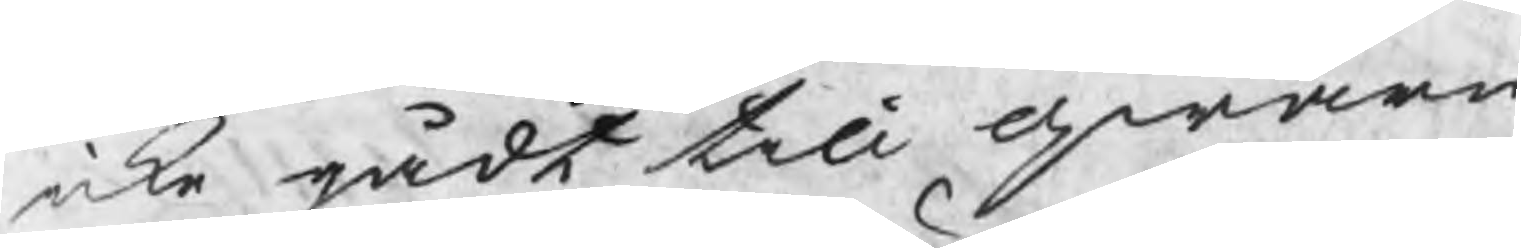icke gådt till qwarn
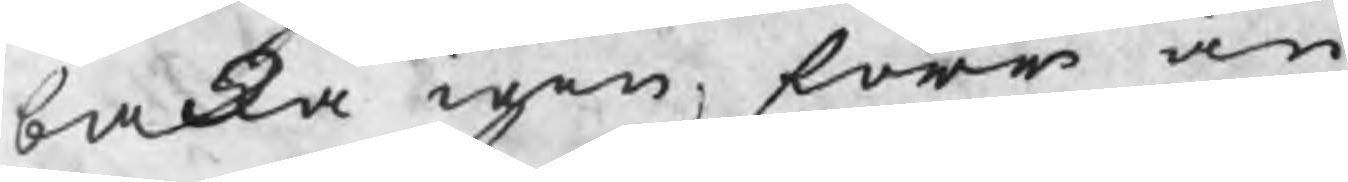backa igen, förr än
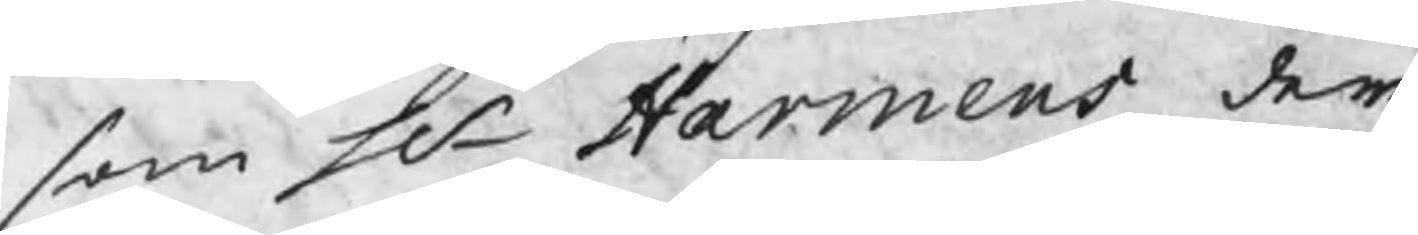som Hr Harmens dem
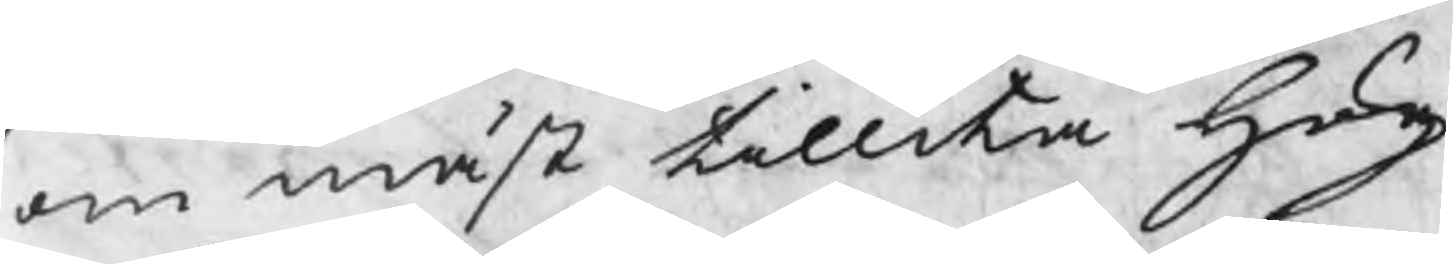om mäst tillika Hög
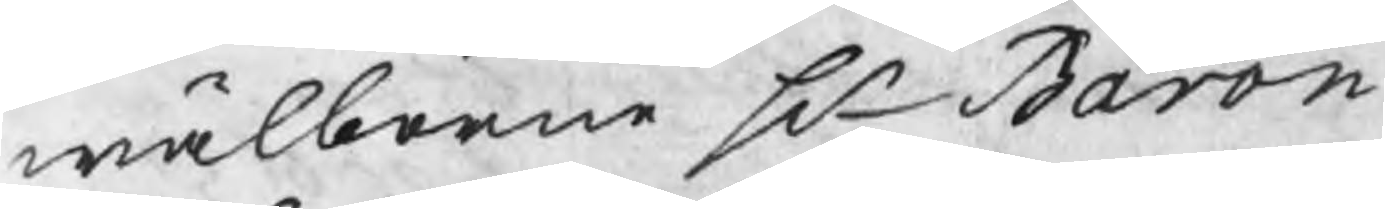wälborne Hr Baron
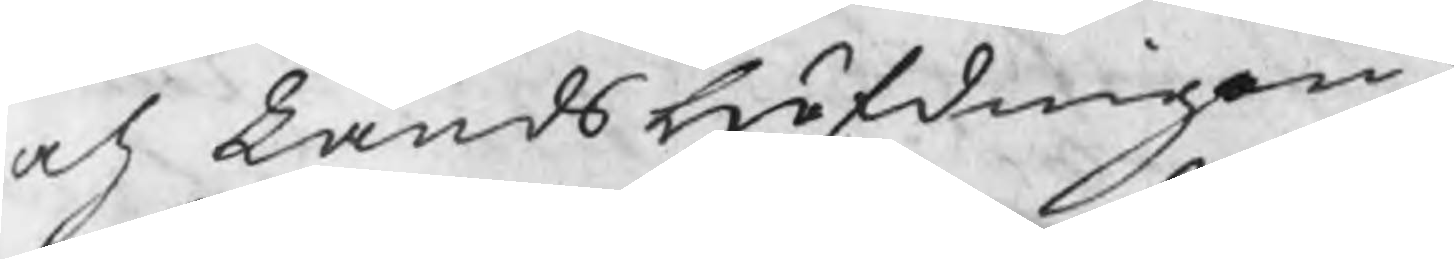och Landshöfdingen;
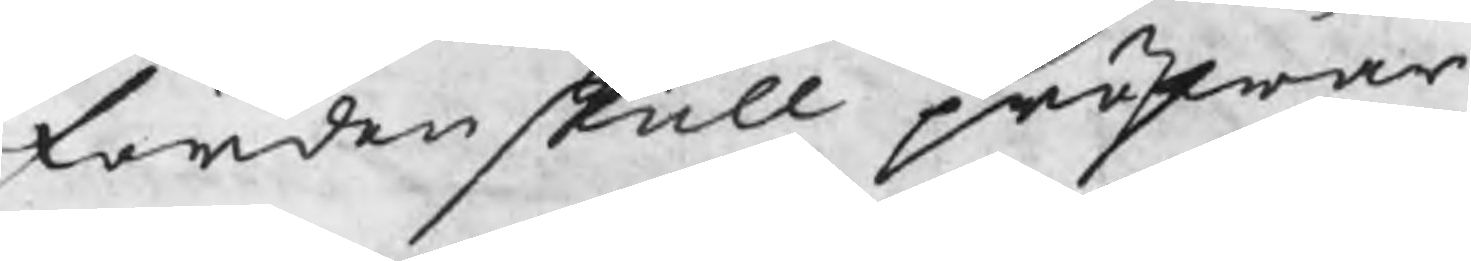Fördenskull pröfwar
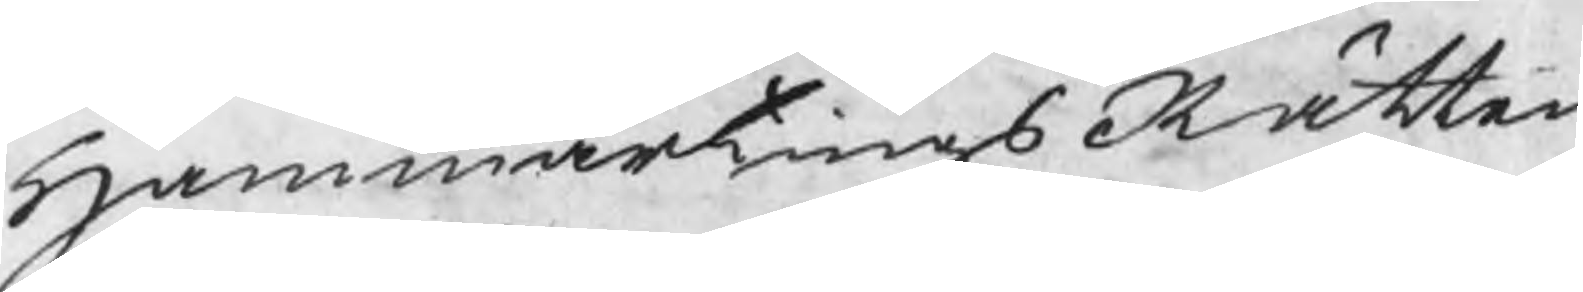HammartingsRätten
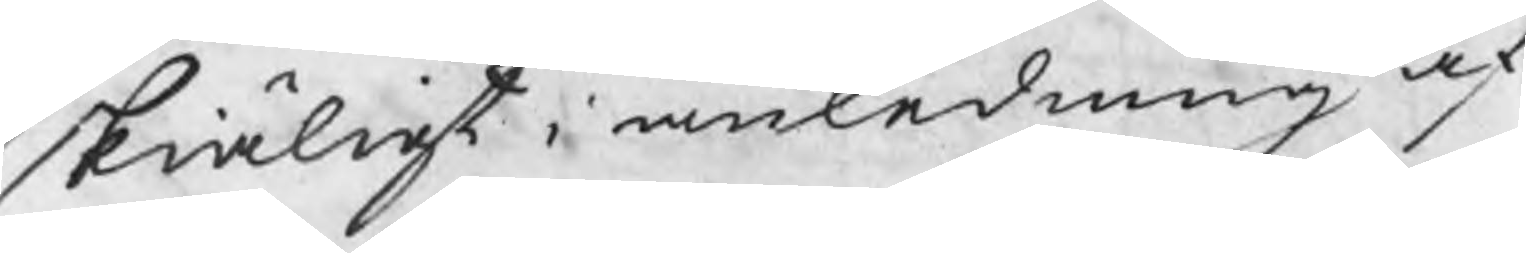skiäligt i anledning af
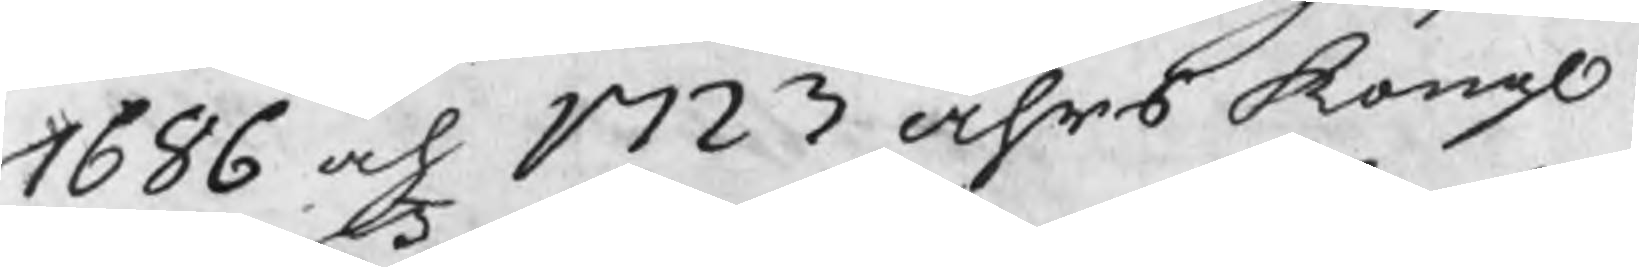1686 och 1723 åhrs Kongl:
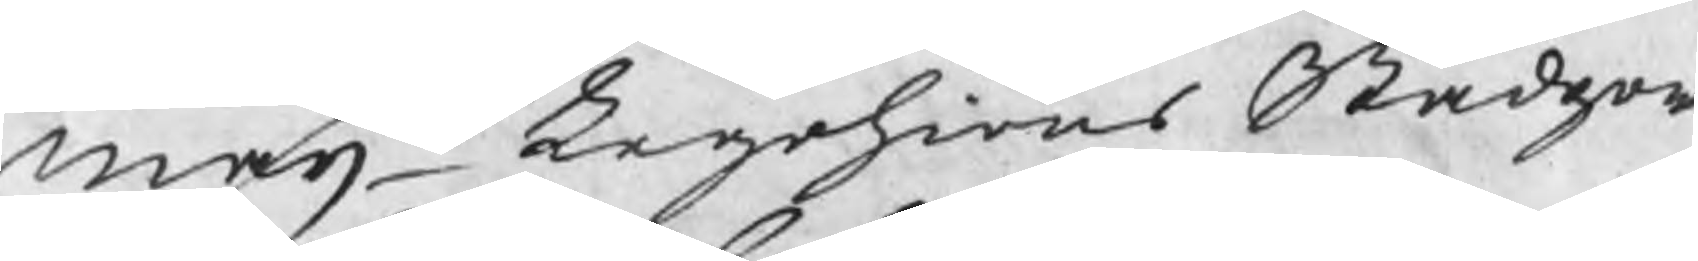maijts Legohions Stadgar 
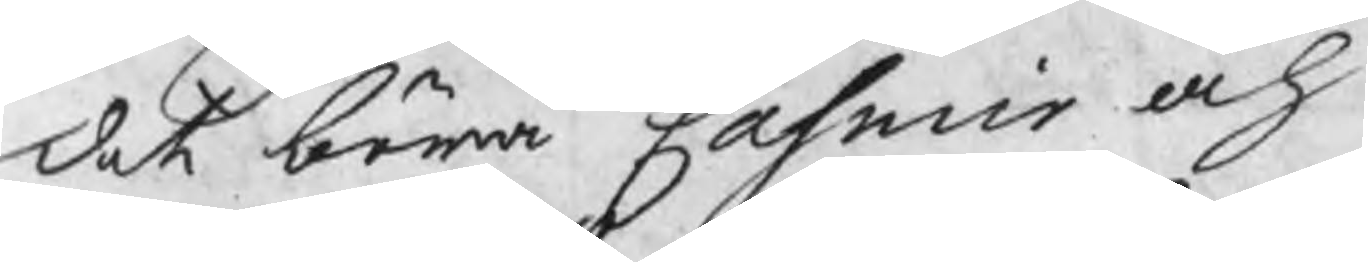det böra Casmir och
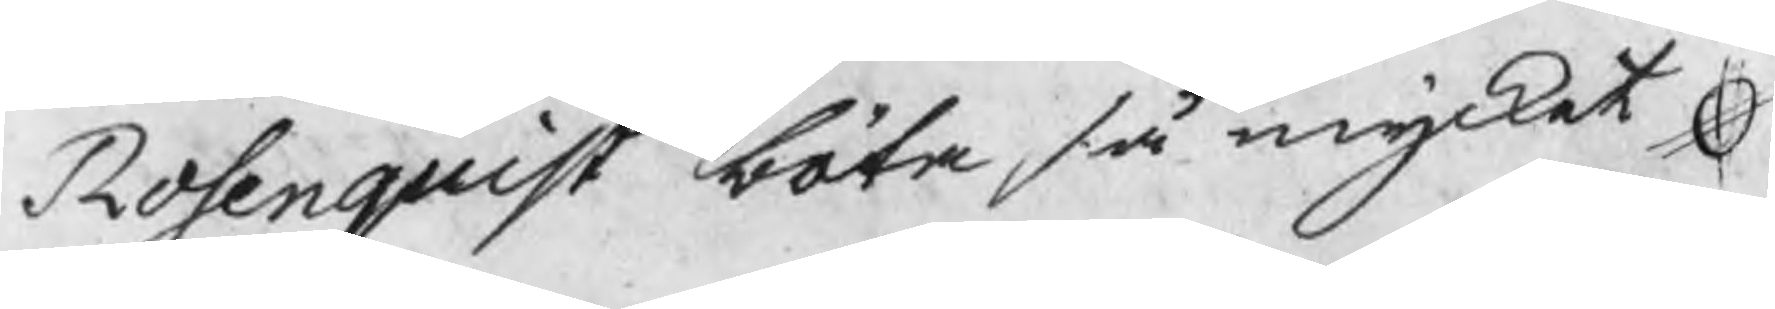Rosenquist böta så mycket
